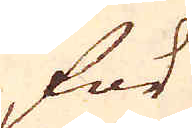för
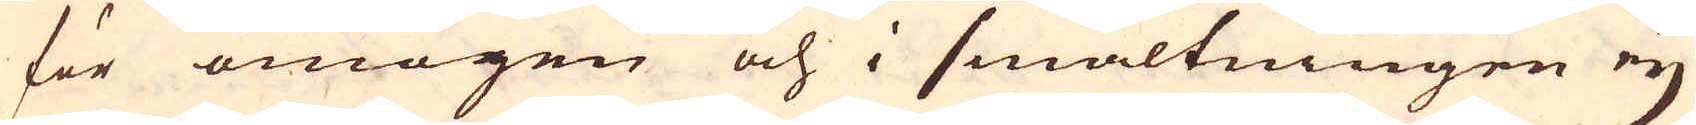för omogen och i smältningen ey
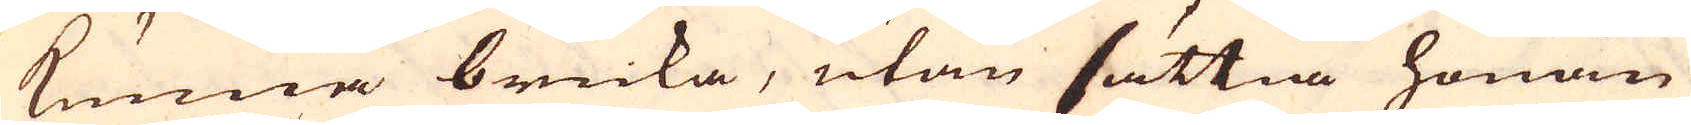kunna bruka, utan sättia honom
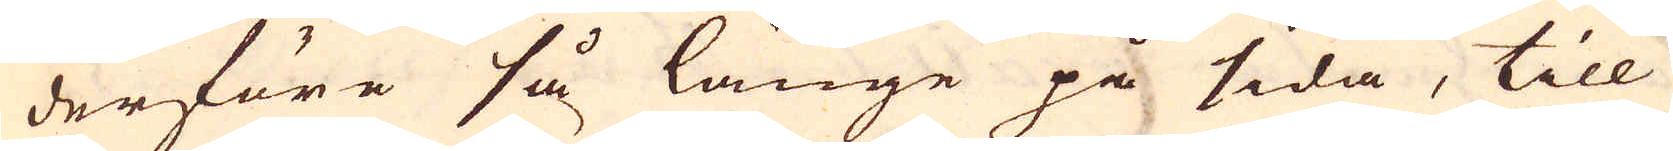derföre så länge på sida, till
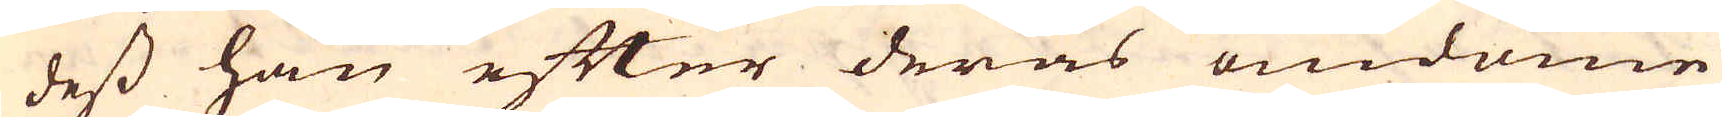dess han efter deras omdöme
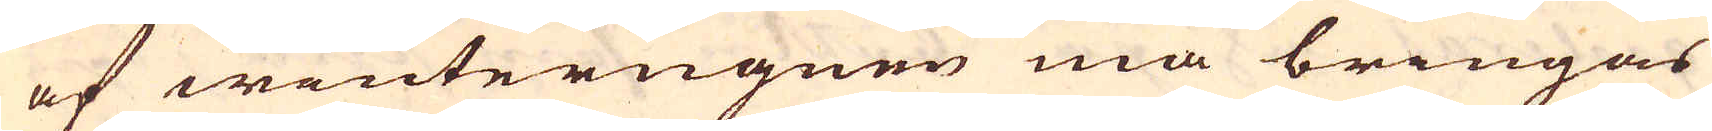af winterugnen må bringas
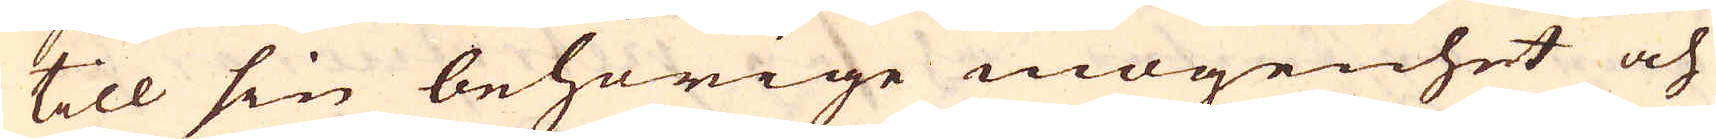till sin behörige mogenhet och
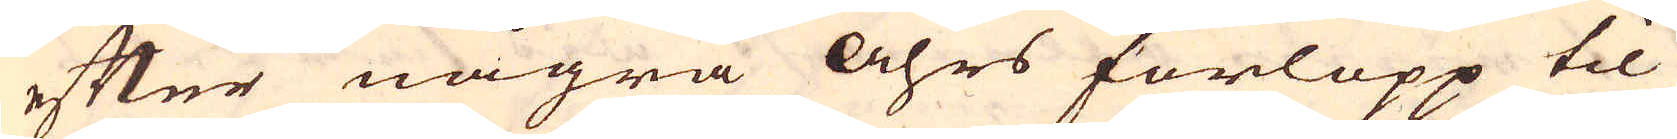efter några Åhrs förlopp til
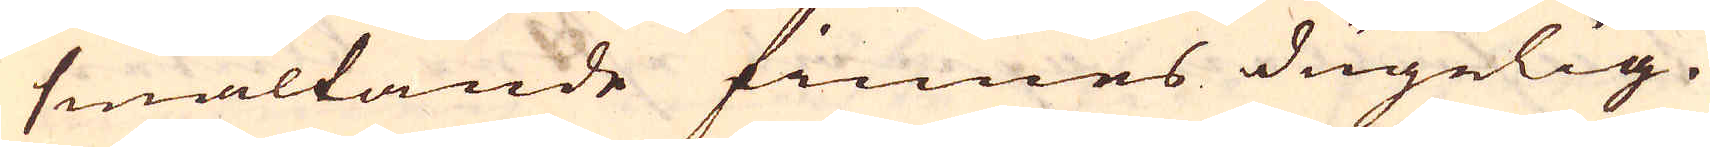smältande finnes dugelig.
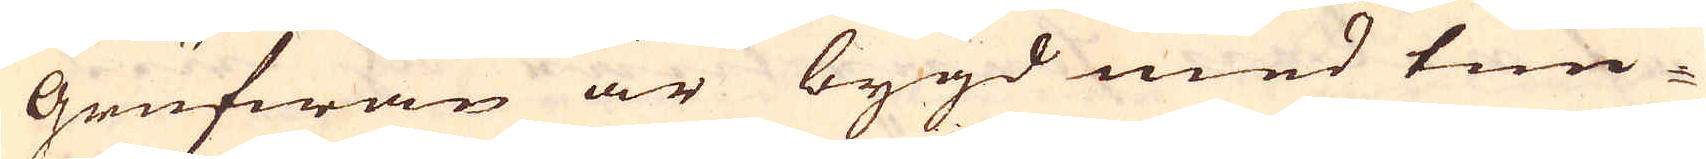Grufwan är bygd med tim-
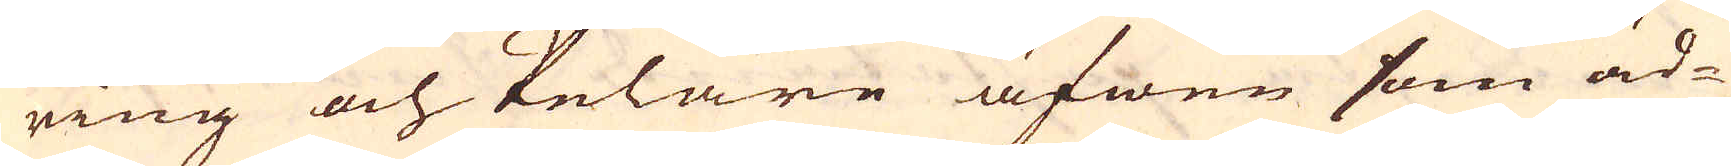ring och Pelare äfwen som äd-
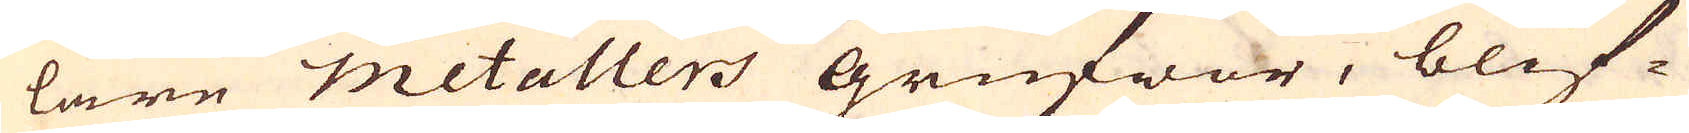lare metallers grufwor, blif-
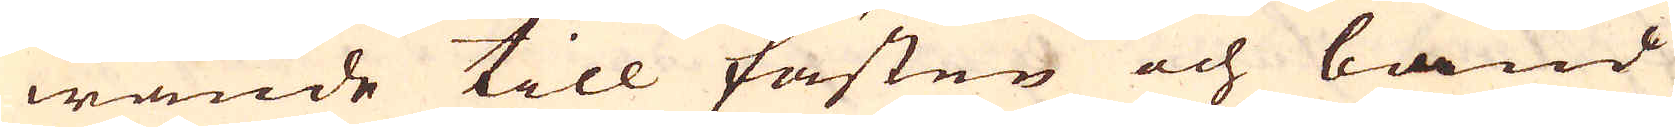wande till fästen och band
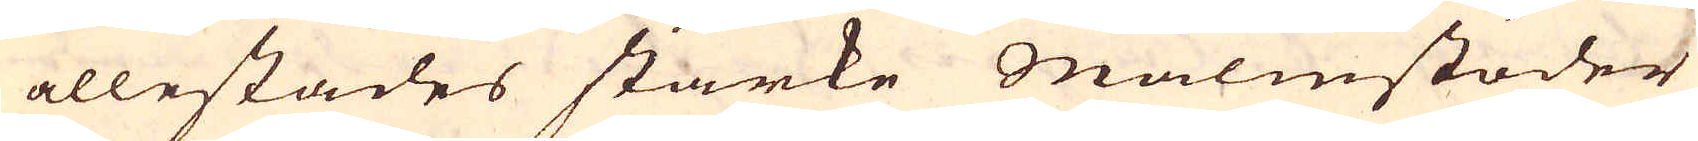allestades starke Malmstöder
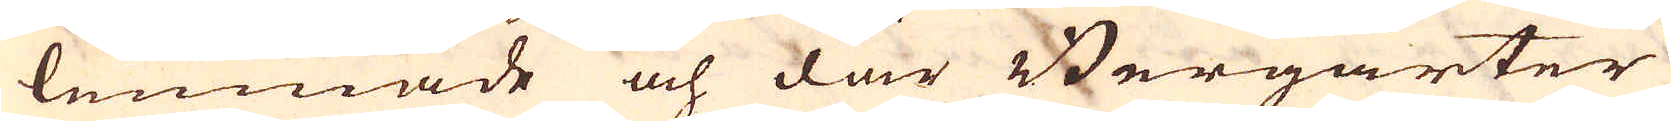lemnade och där Bergarter
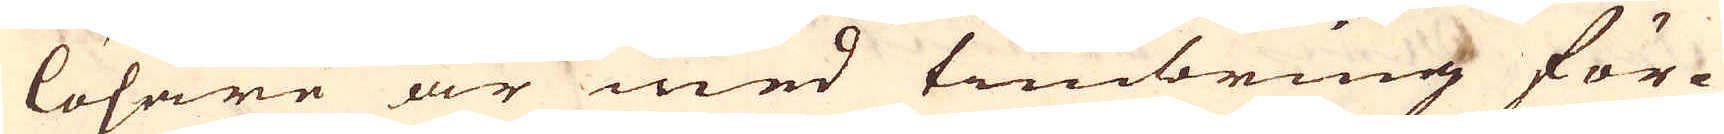lösare är med timbring för-
